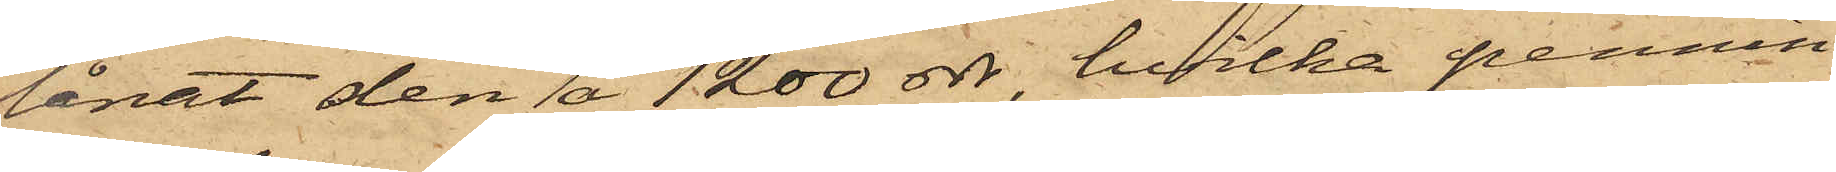lånat den å 1200 rdr, hvilka pennin¬
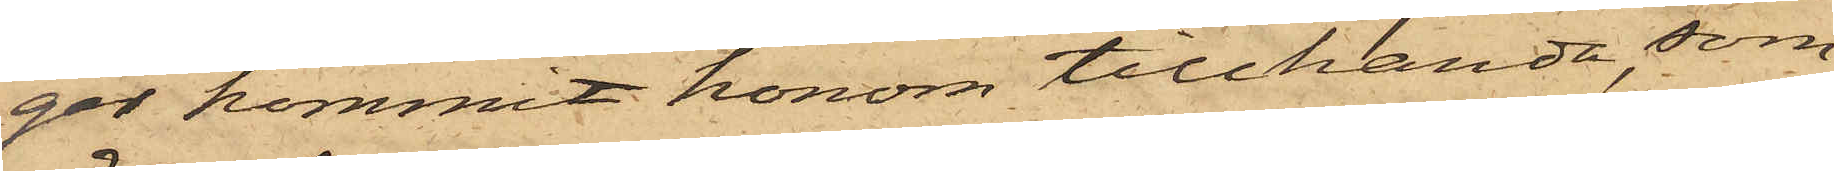gar kommit honom tillhanda, som
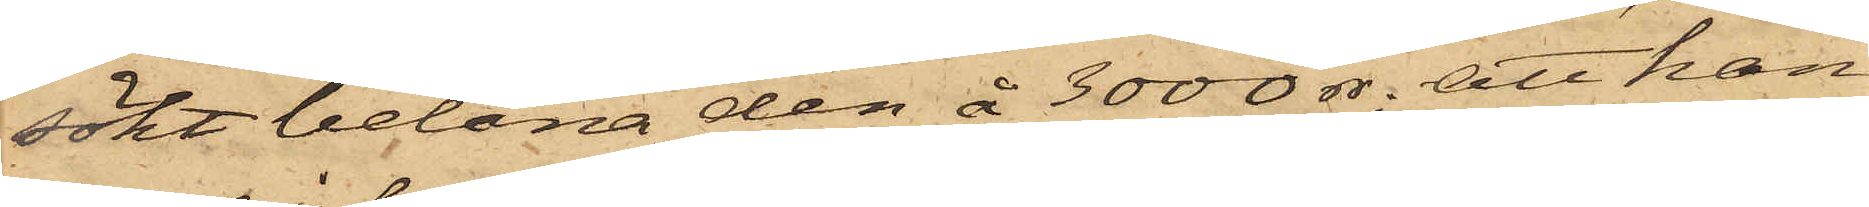sökt belåna den å 3000 dr; att han
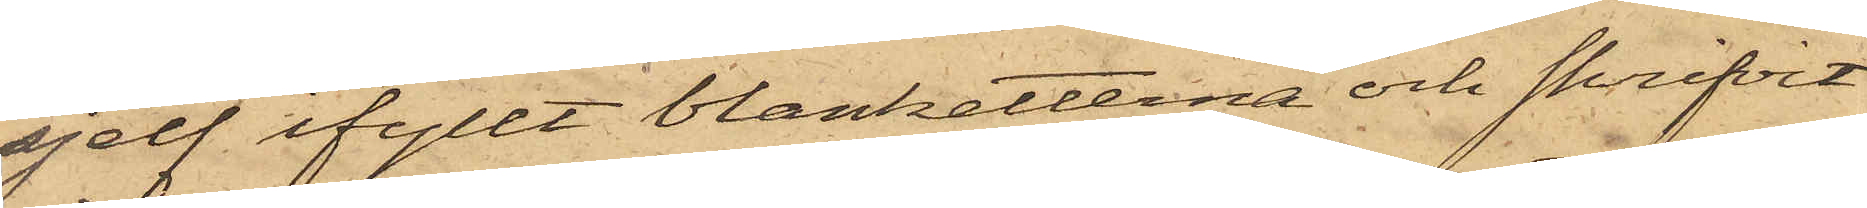sjelf fyllt blanketterna och skrifvit
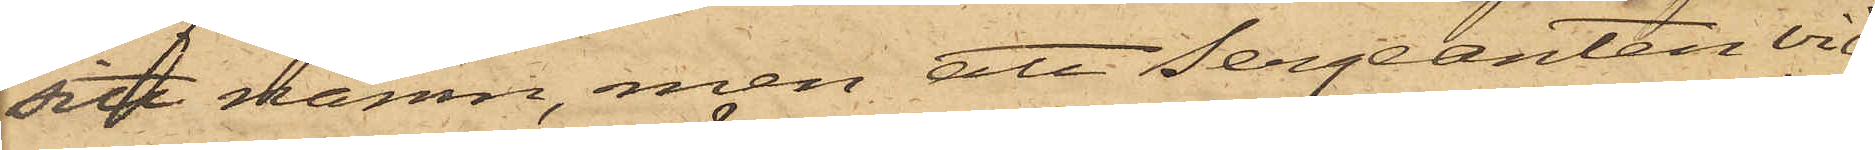sitt namn, men att Sergeanten vid
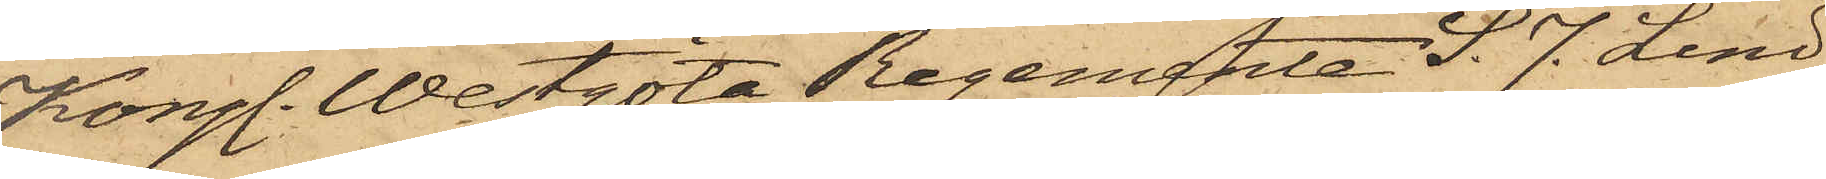Kongl. Westgöta Regemente S. J. Lind¬
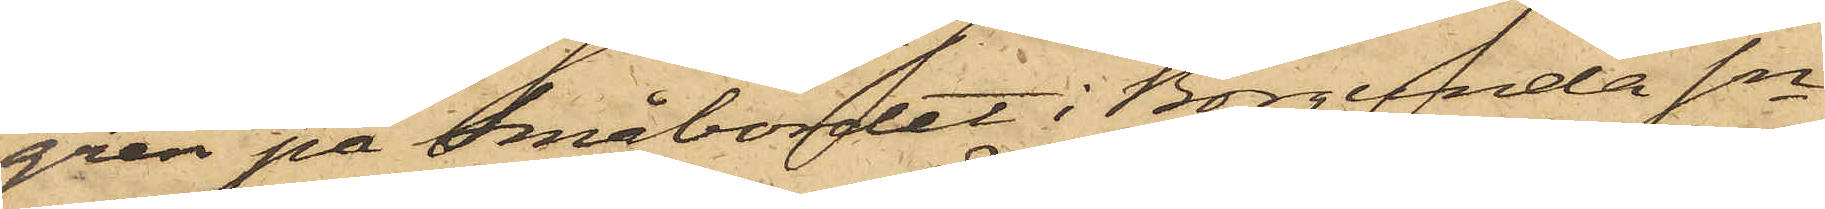gren på Småbordet i Borgunda Sn
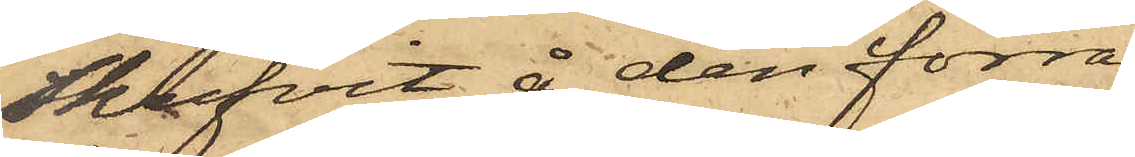Skrifvit å den förra
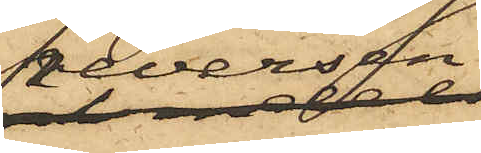reversen
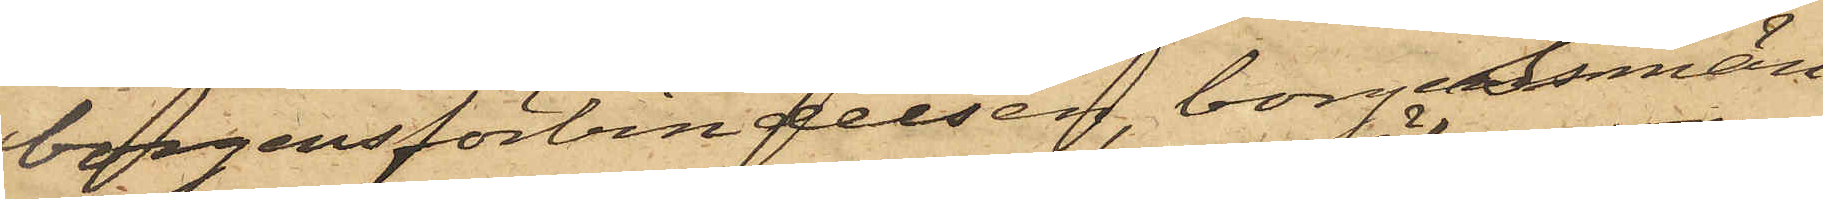borgensförbindelsen, borgesmän¬
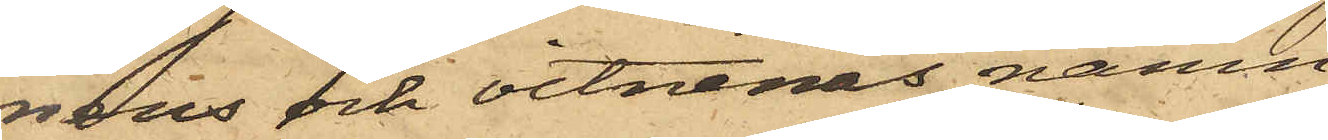nens och vitnenas namn
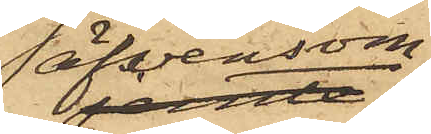äfvensom
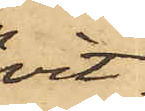vit¬
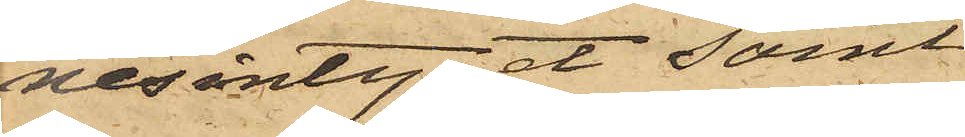nesintyget samt
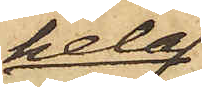hela
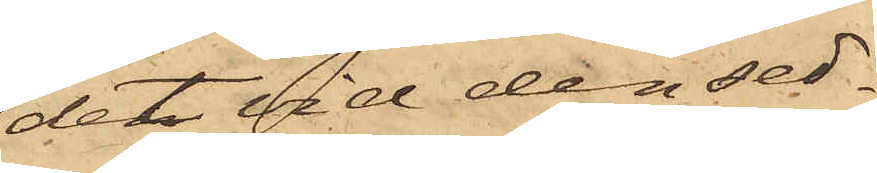det vid den sed¬
